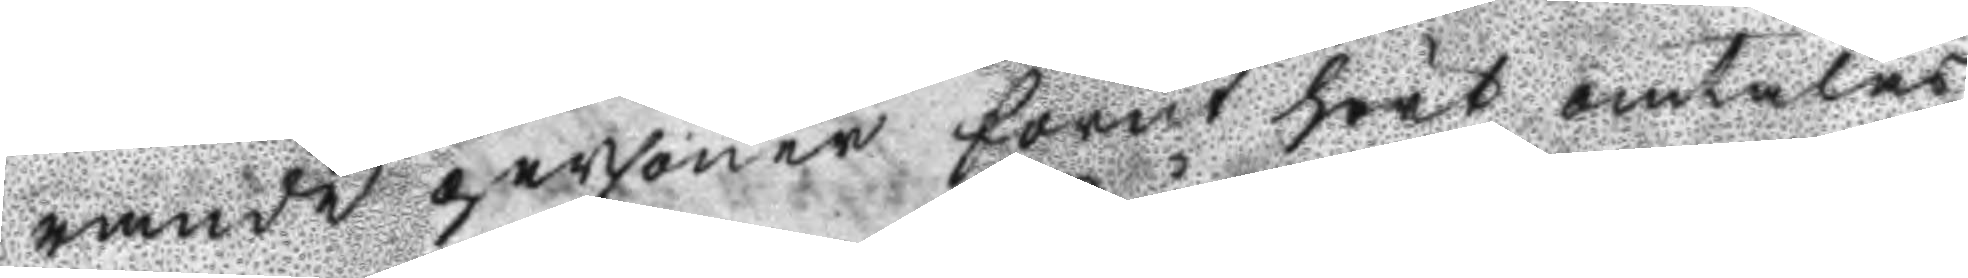rande personer förut hört omtalas
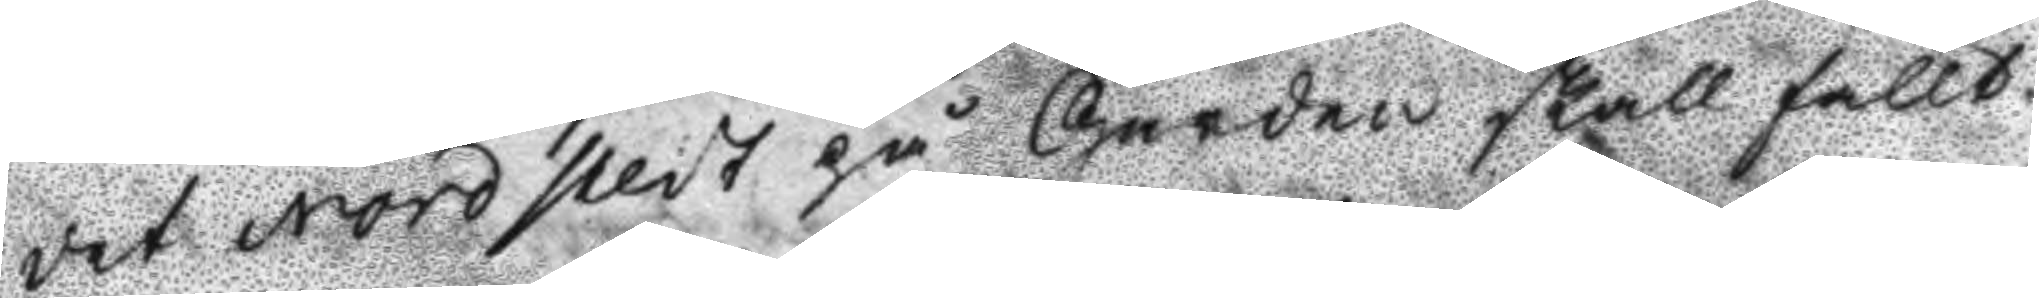det Nordstedt på Gården skall fällt
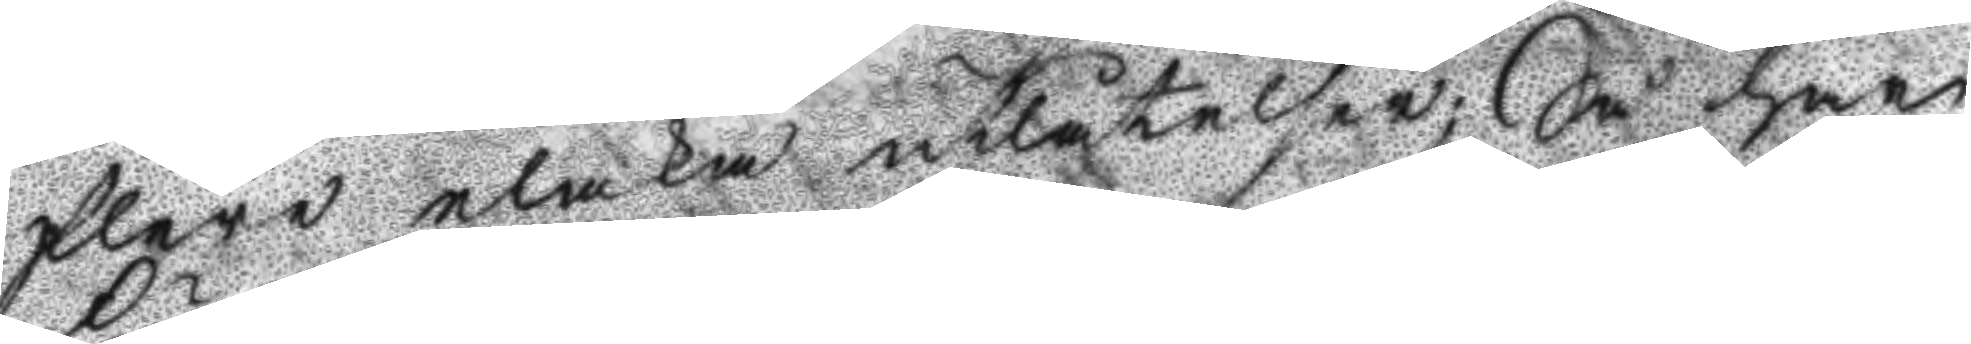flera elaka utlåtelser; Så har
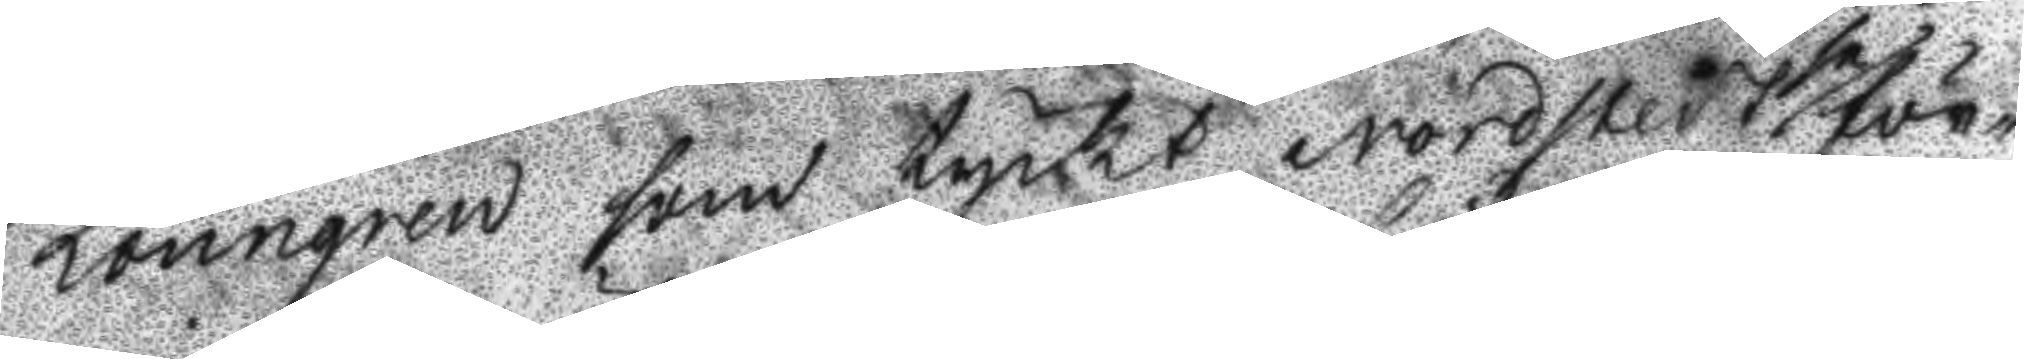Lönngren som tyckt Nordstedt se för¬
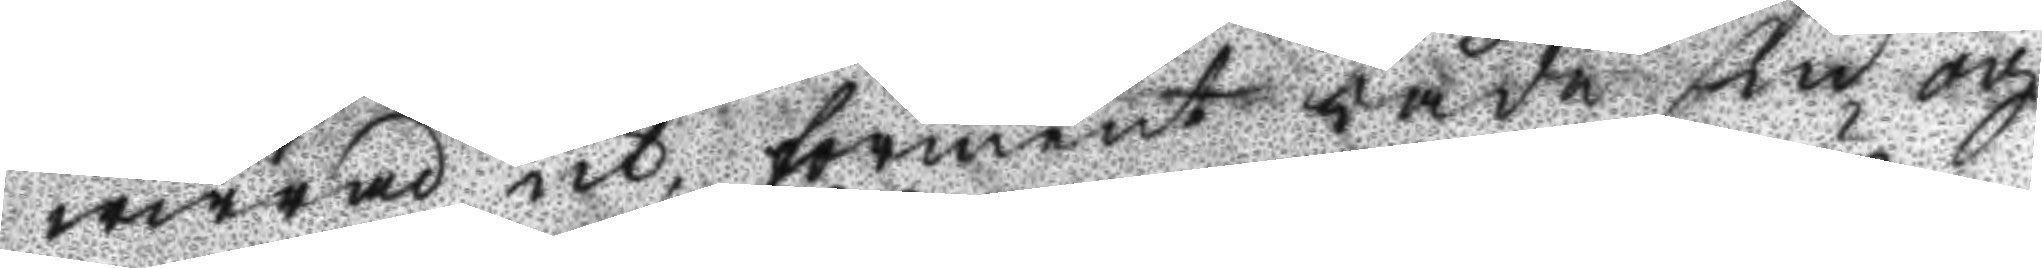wirrad ut, förment både sin och
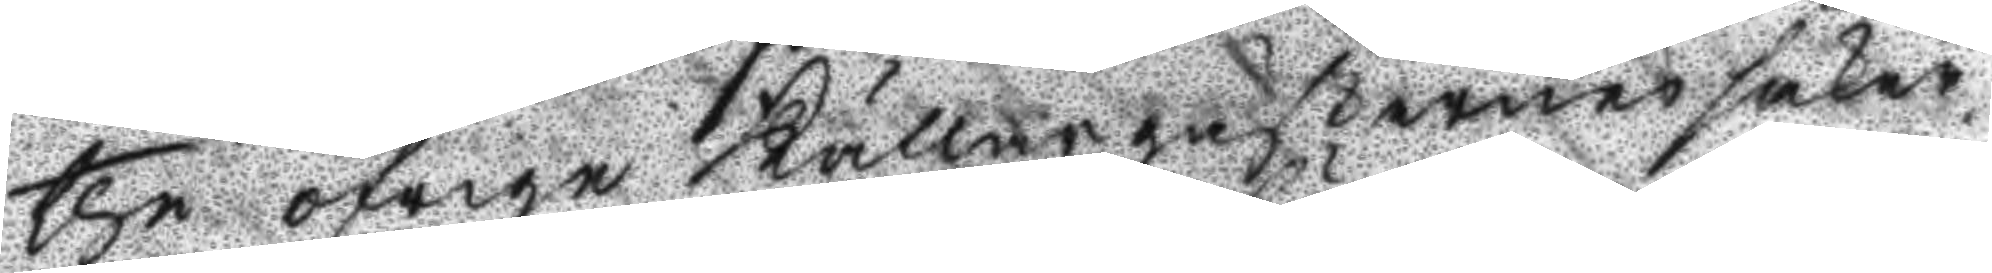the öfrige Källargästernes säker¬
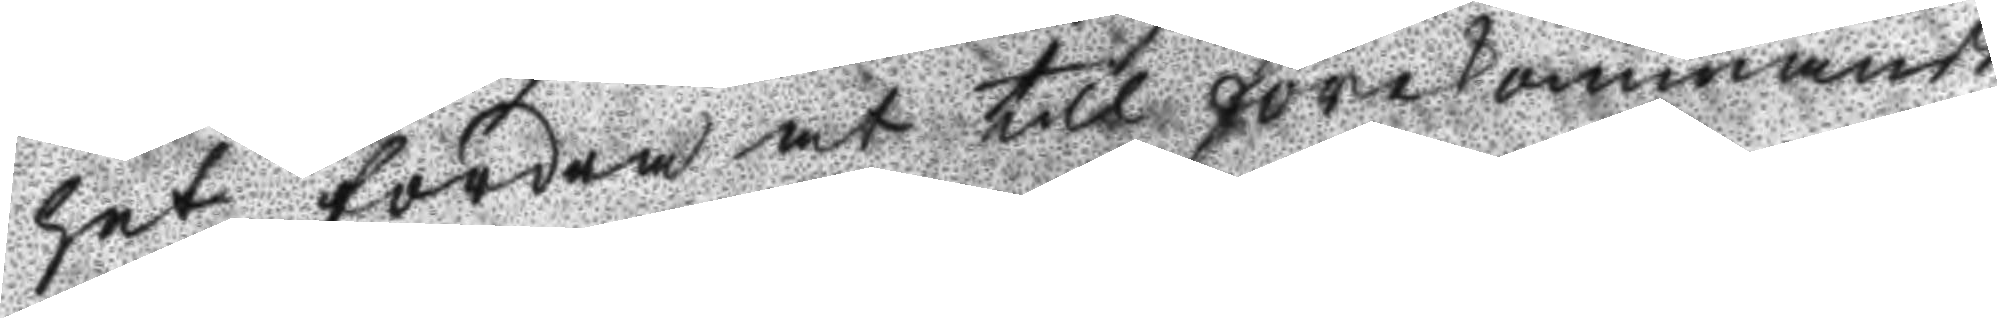het fordra at till förekommande
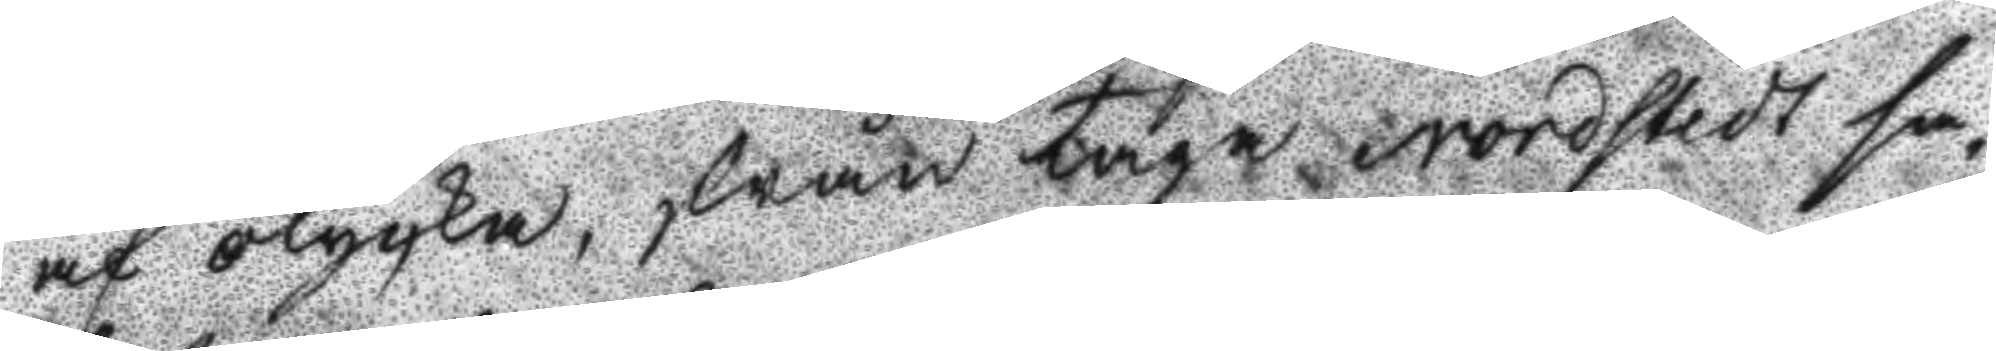af olycka, ifrån taga Nordstedt sa¬
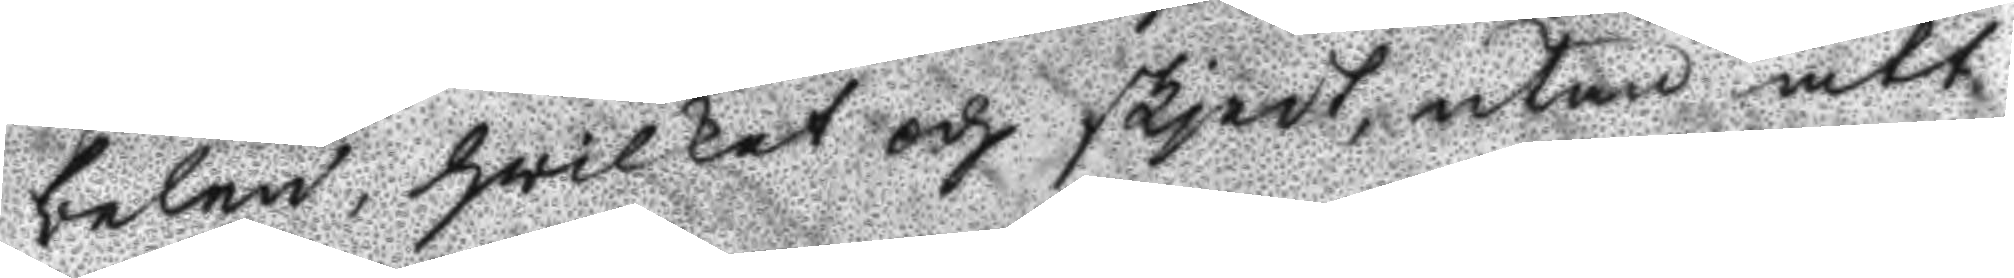belen, hwilket och skjedt, utan att
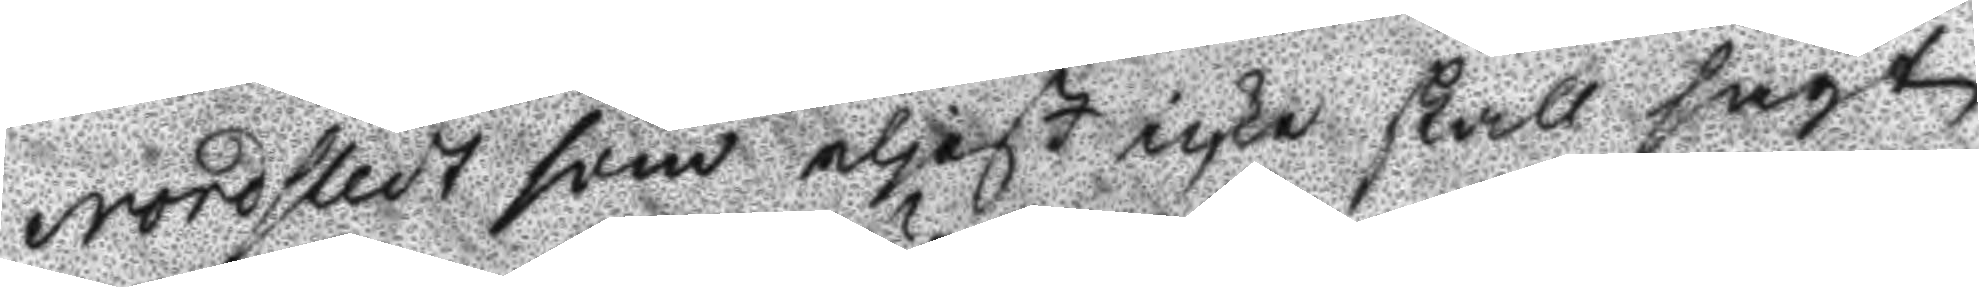Nordstedt som eljest icke skall sagt
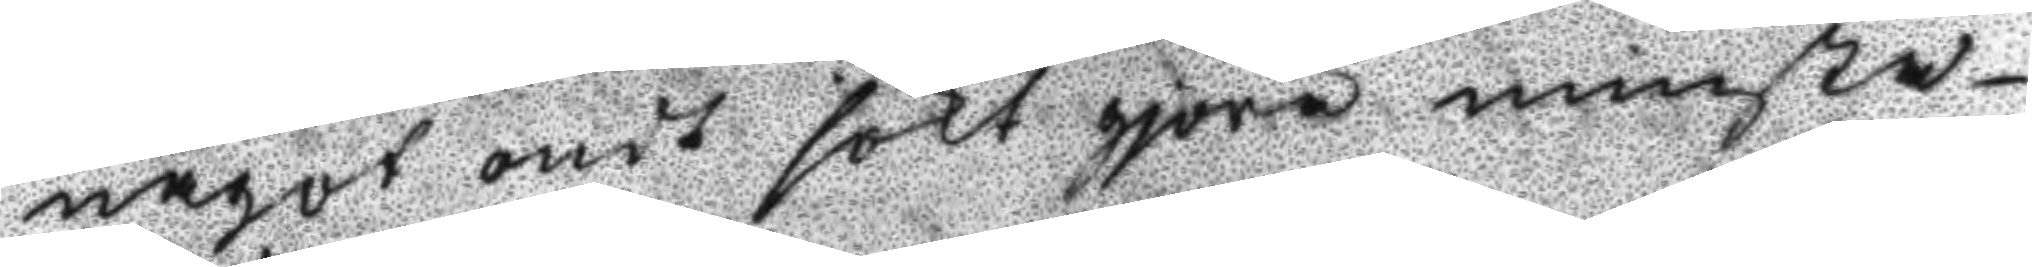något ondt sökt gjöra minsta
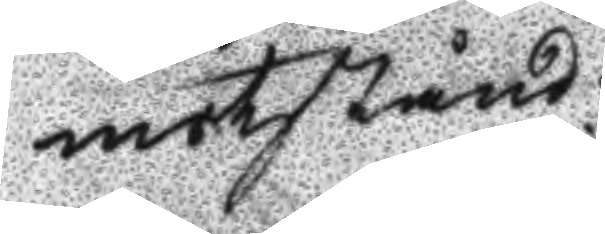motstånd.
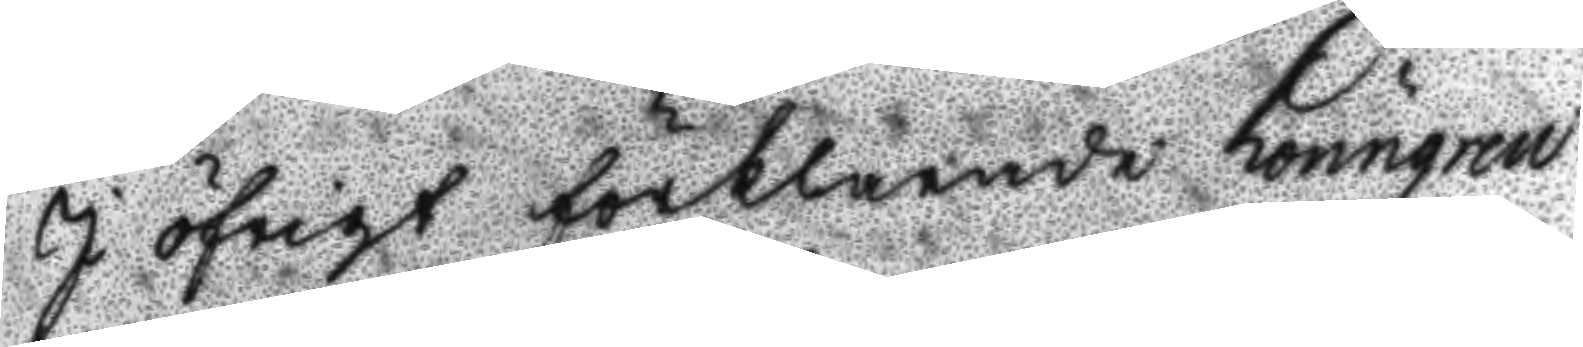I öfrigt förklarade Lönngren
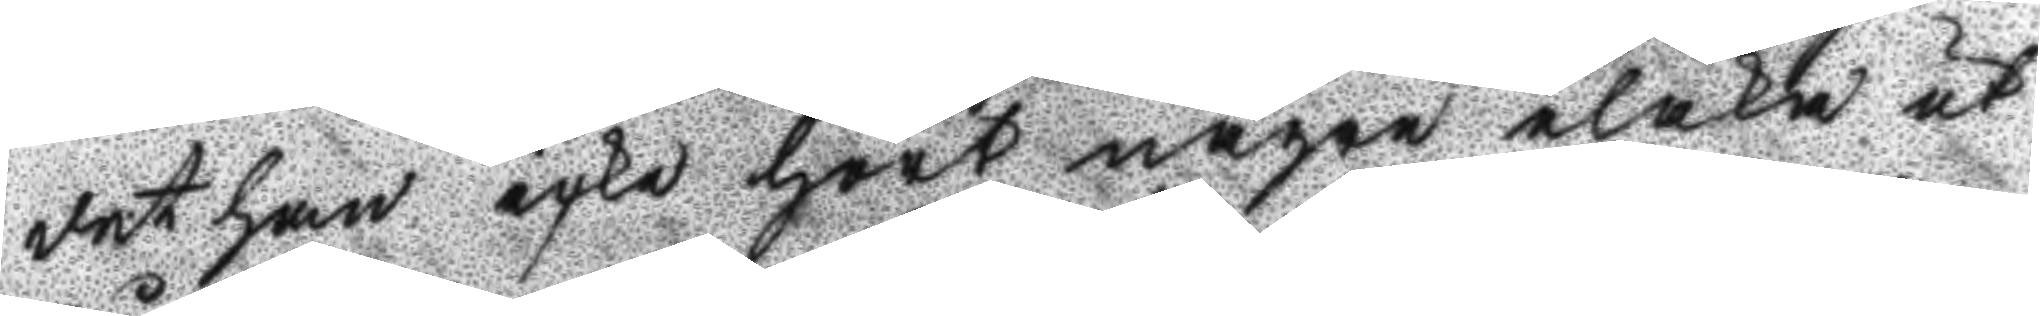det han icke hört någre elaka ut¬
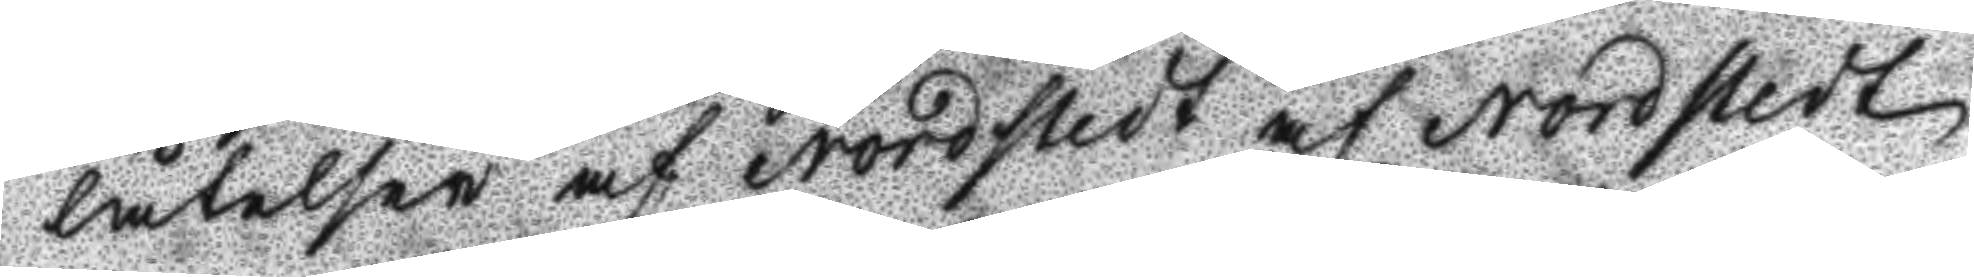låtelser af Nordstedt af Nordstedt
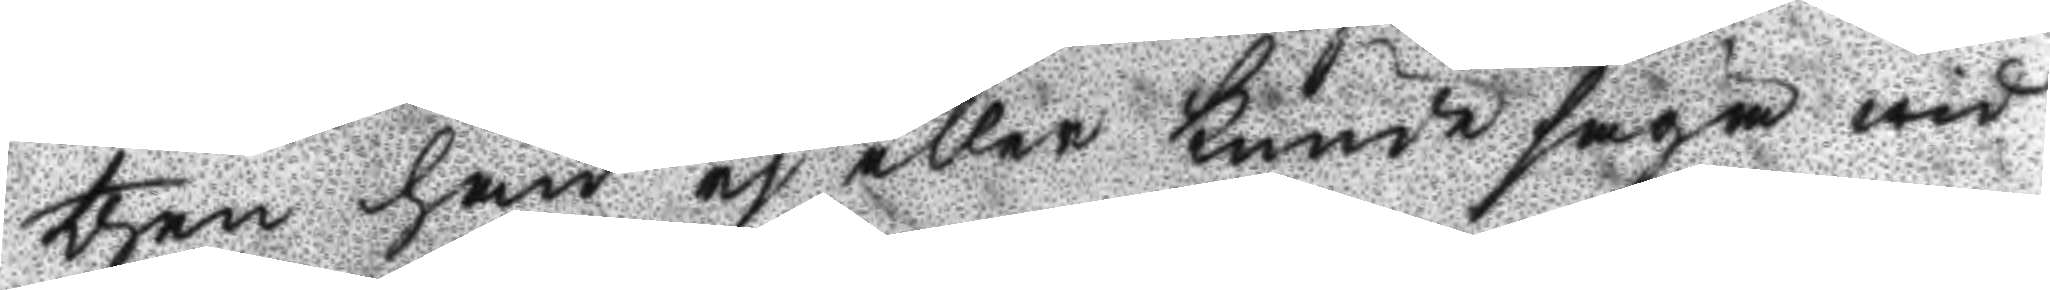then han ej eller kunde säga wid
